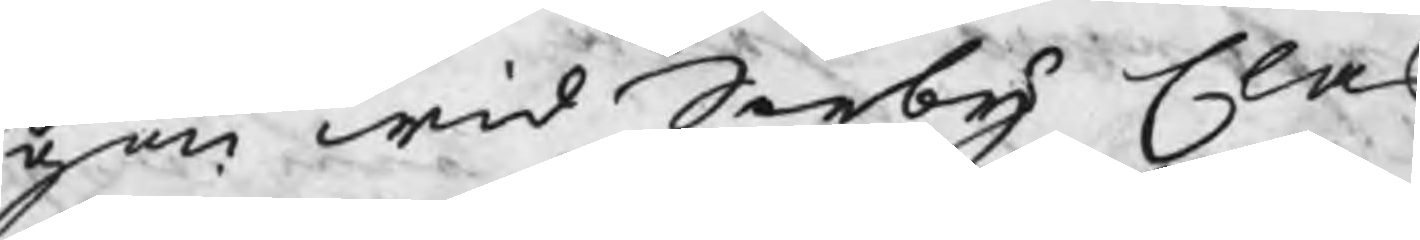gen wid Sörby Clas
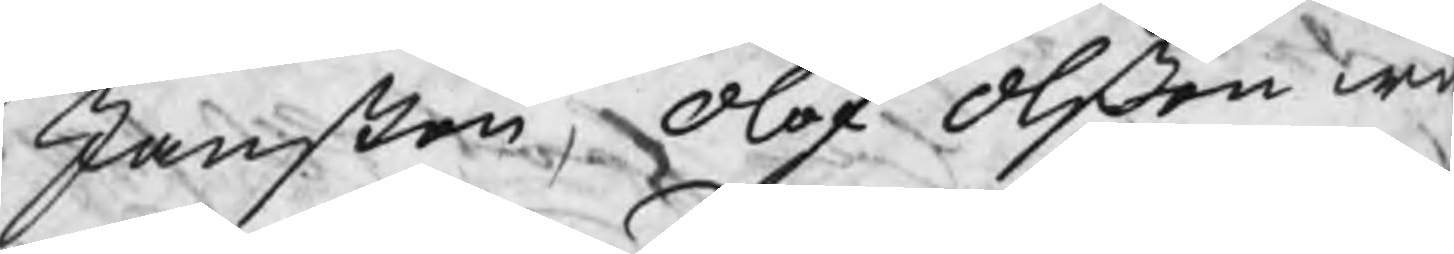Janßon, Olof Olßon w
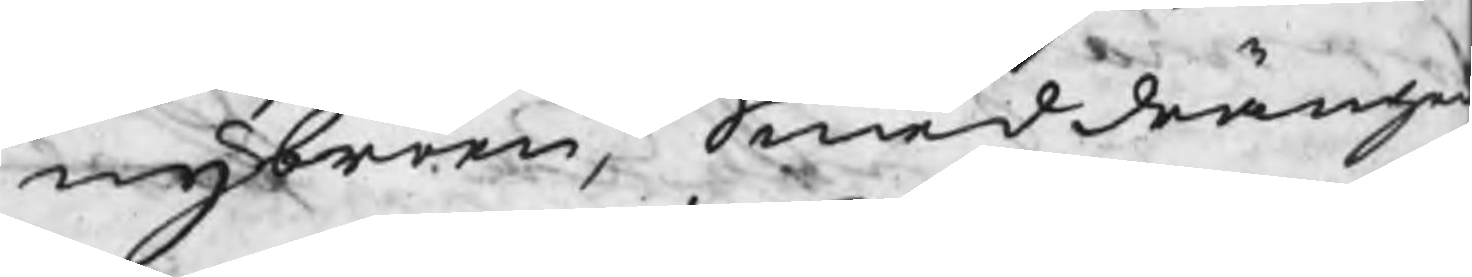nybroen, Smeddränge
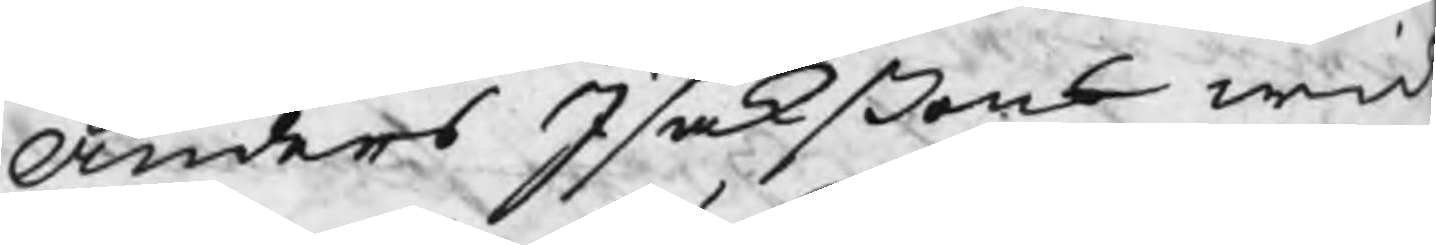Anders Isakßons wid
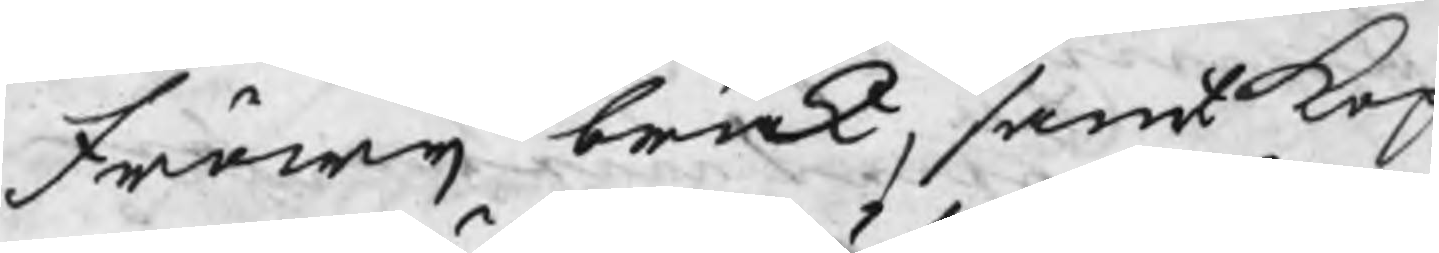Fröwij bruk, samt Kop¬
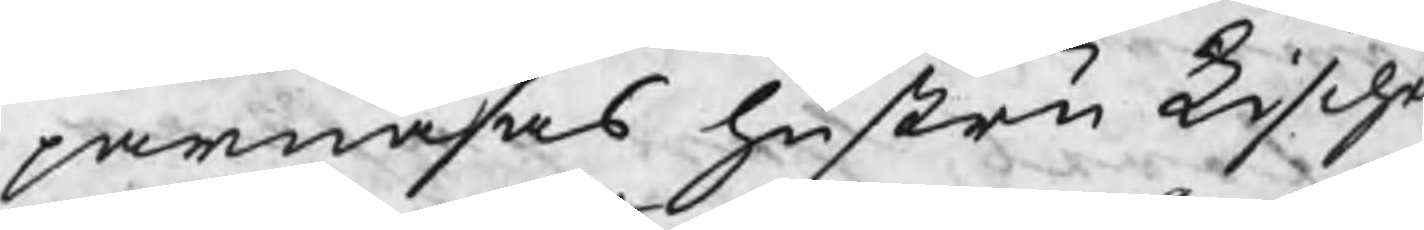parnäsas hustru Lische
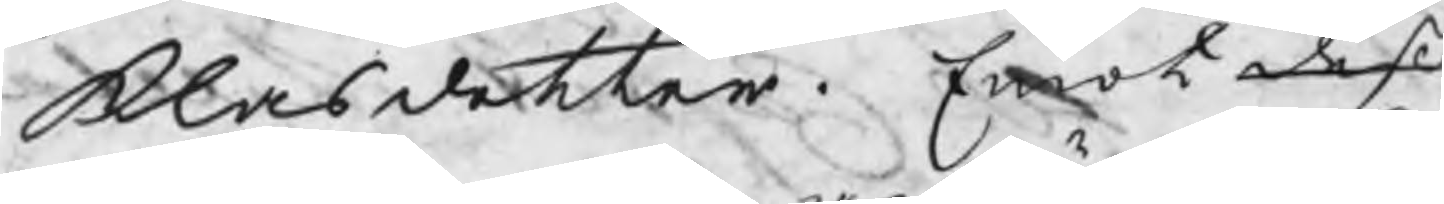Klasdotter. Emot deß
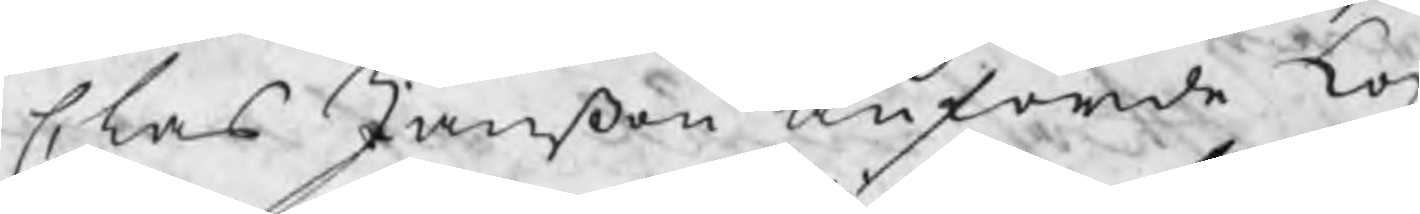Clas Janßon anförde Kop
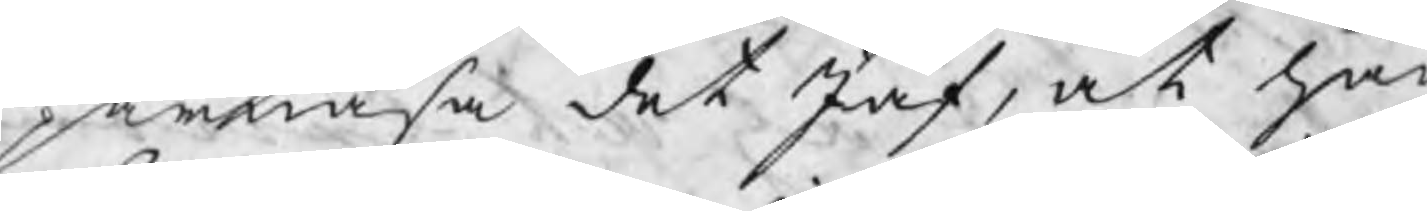parnäsa det Jäf, at han
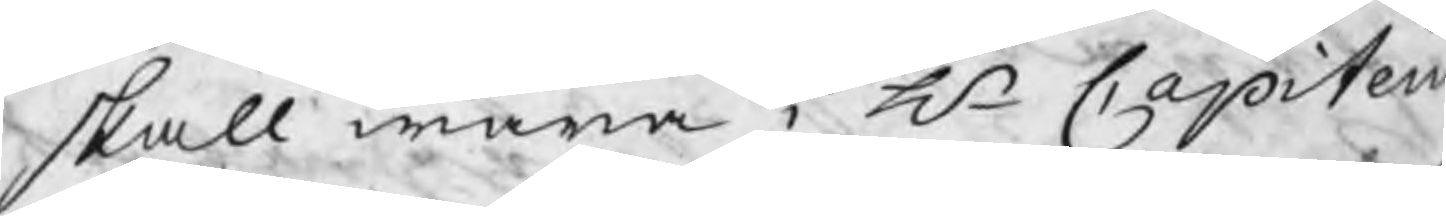skall wara i Hr Capitein
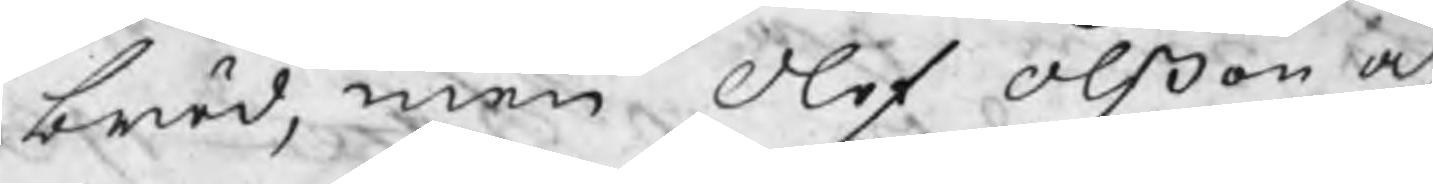bröd, men Olof Olßon och
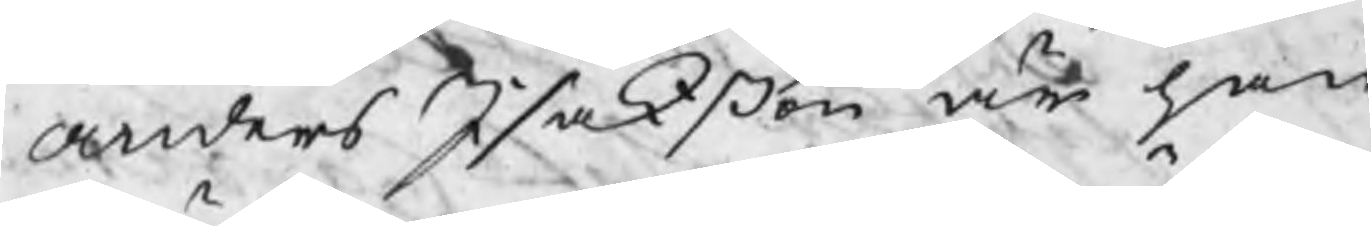Anders Isakßon är han
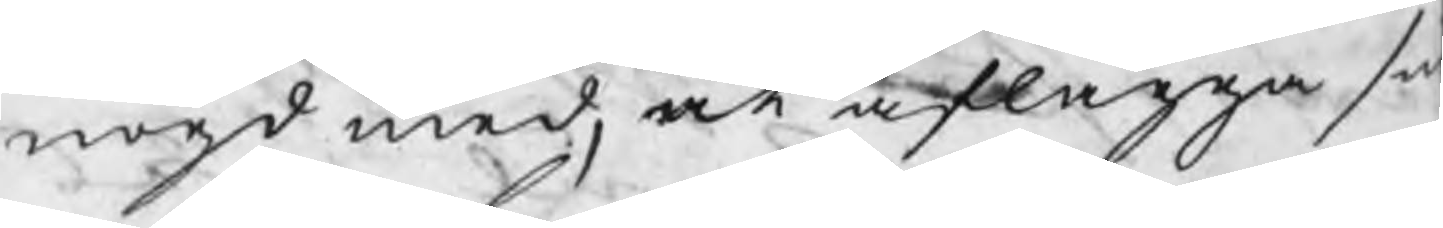nögd med, at aflägga si
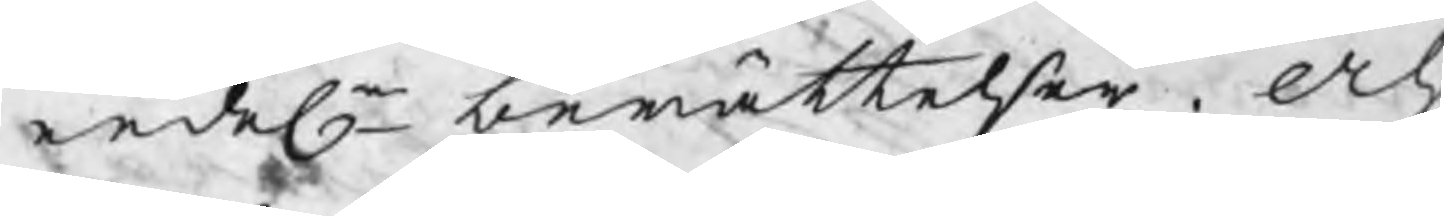eedel. berättelser. Och
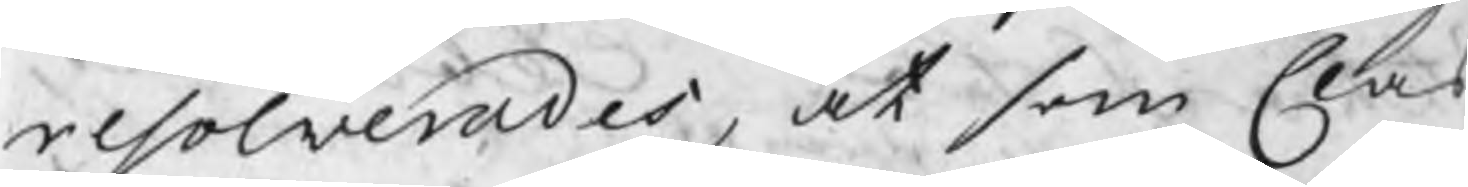resolverades, at som Clas
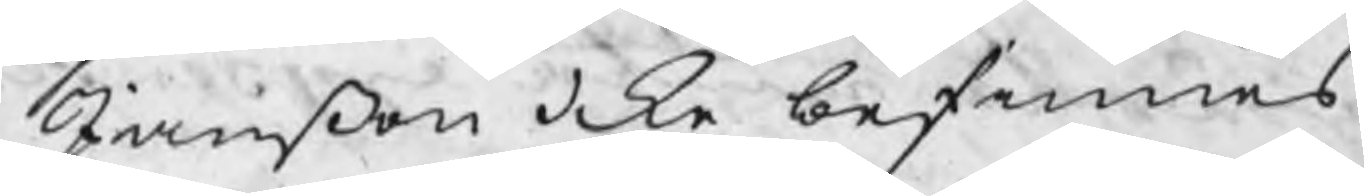Janßon icke befinnes
